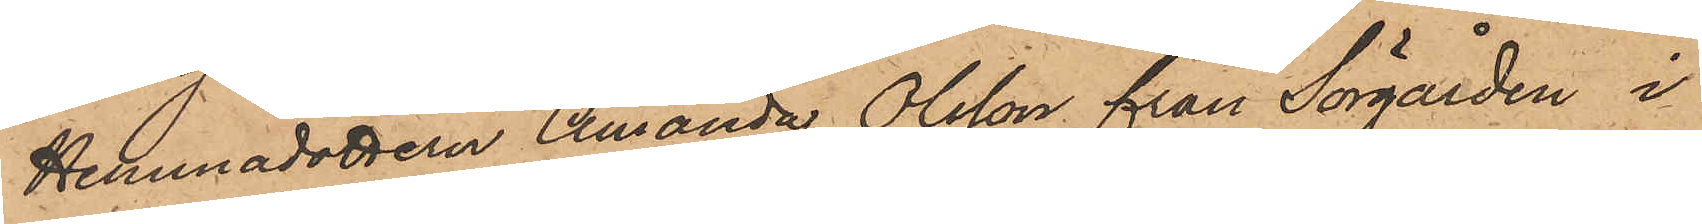Hemmadottern Amanda Olsson från Sörgården i
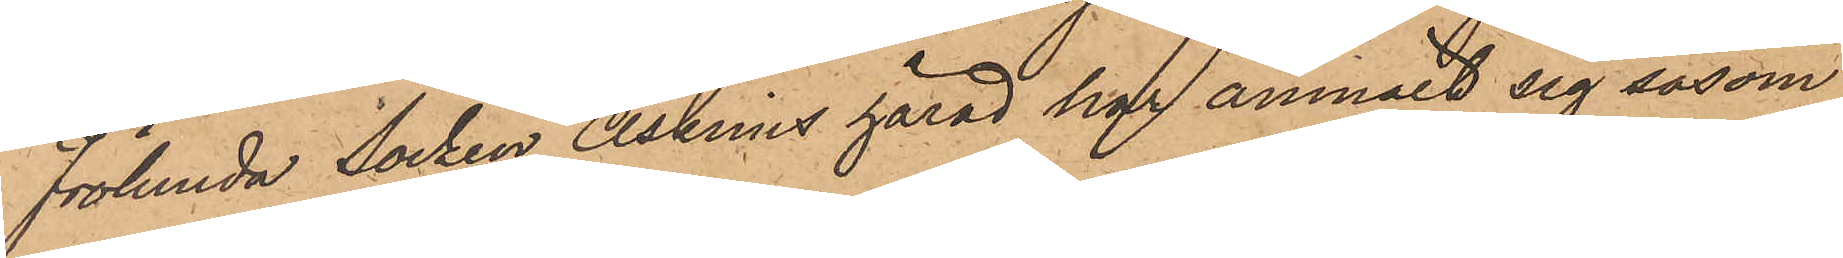Frölunda Socken Askims härad har anmält sig såsom
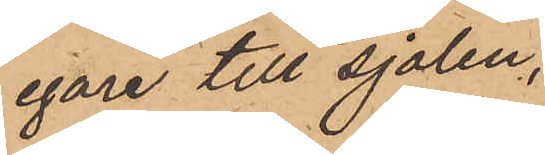egare till sjalen,
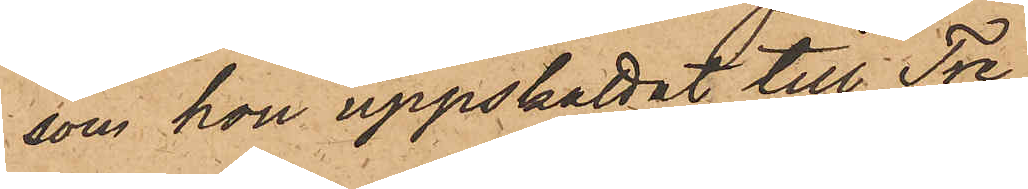som hon uppskattat till Tre
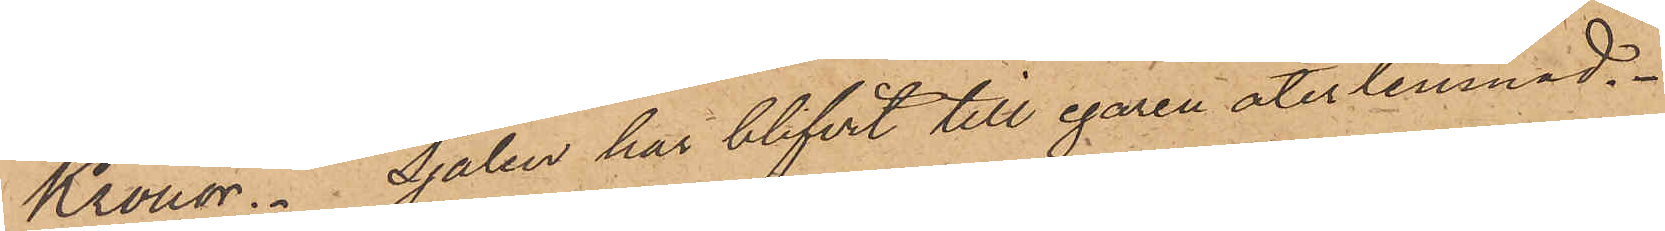Kronor. Sjalen har blifvit till egaren återlemnad.
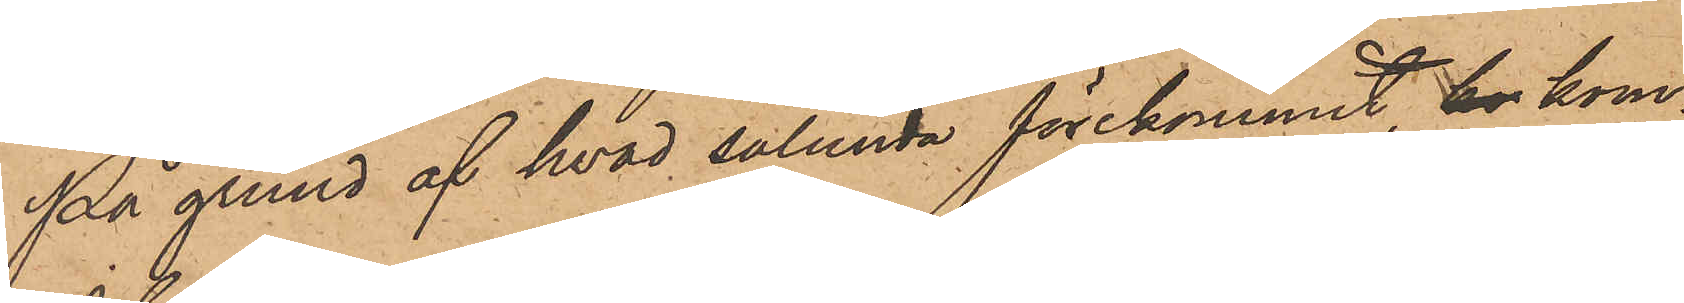På grund af hvad sålunda förekommit, kr kom¬
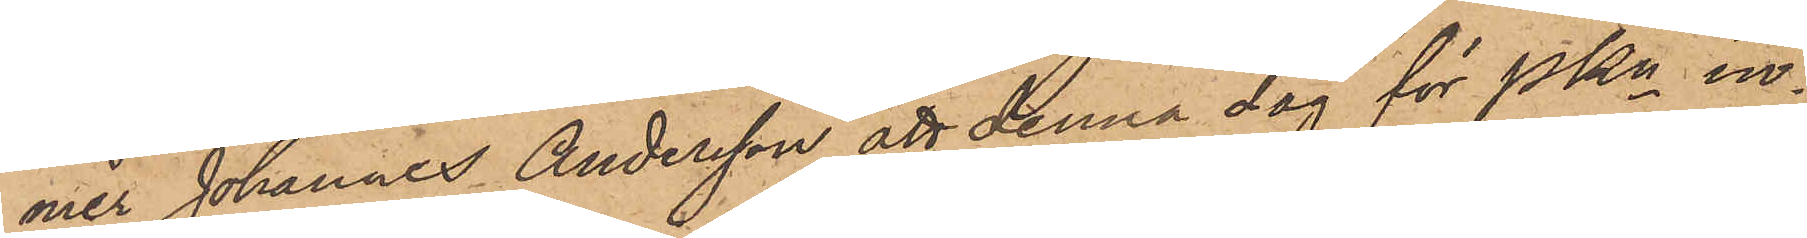mer Johannes Andersson att denna dag för PKn in¬
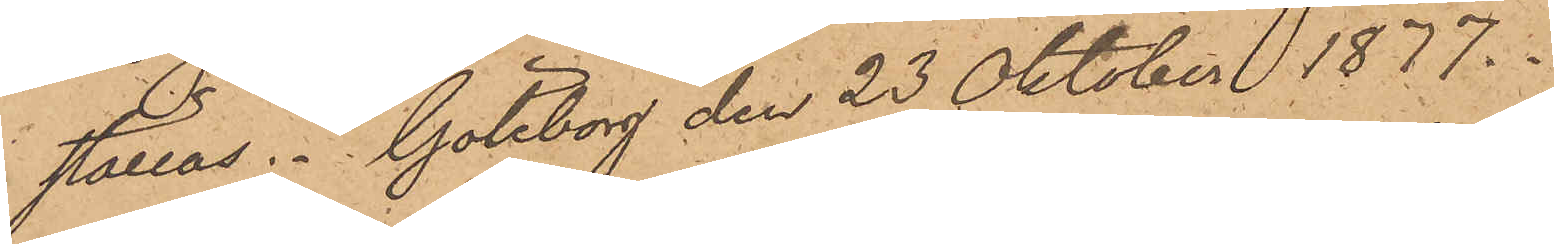ställas. Göteborg den 23 Oktober 1877.
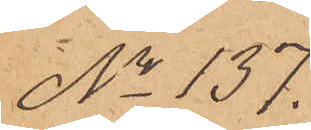No 137.
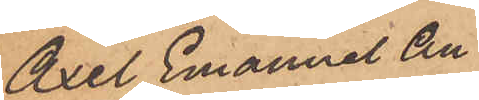Axel Emanuel An¬
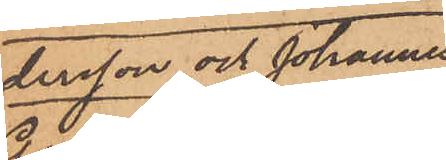dersson och Johannes
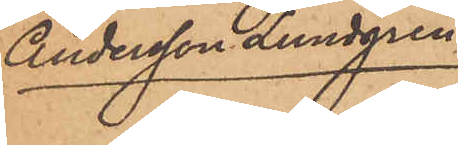Andersson Lundgren.
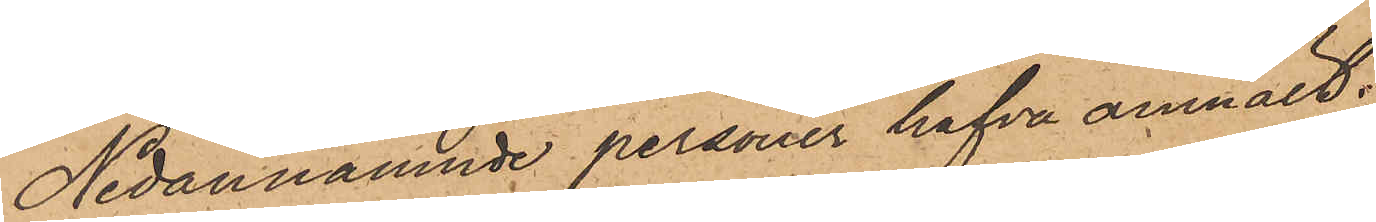Nedannämnde personer hafva anmält:
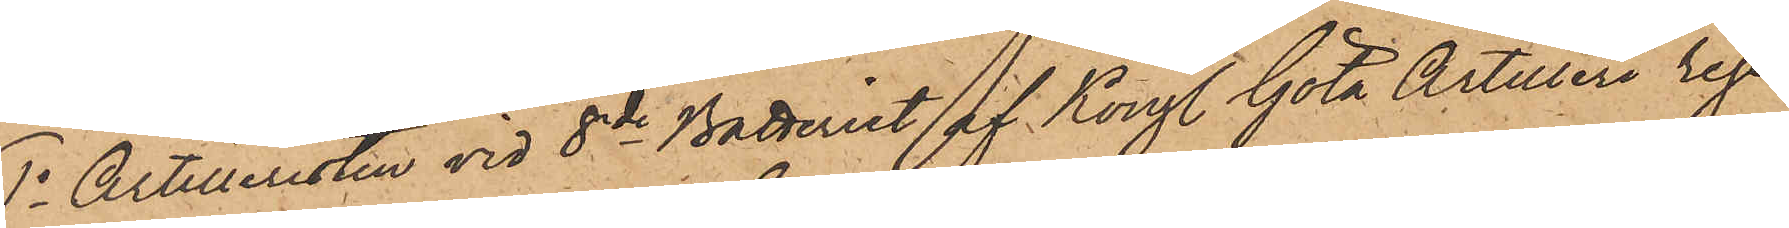1o Artilleristen vid 8de Batteriet af Kongl. Göta Artilleri rege¬
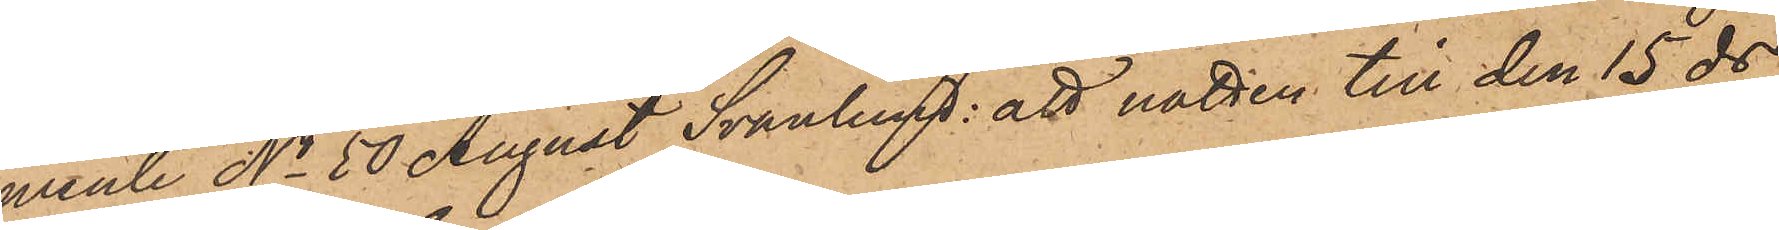mente No 50 August Svanlund: att natten till den 15 ds
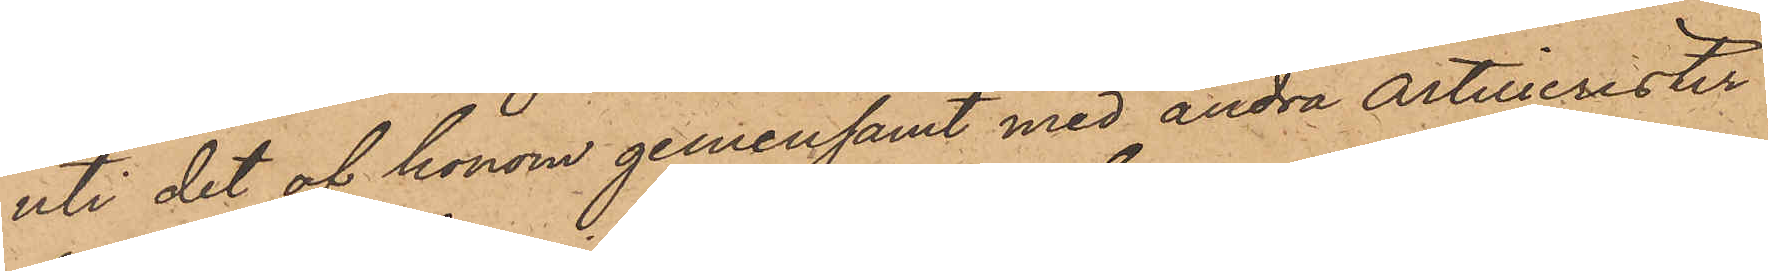uti det af honom gemensamt med andra artillerister
